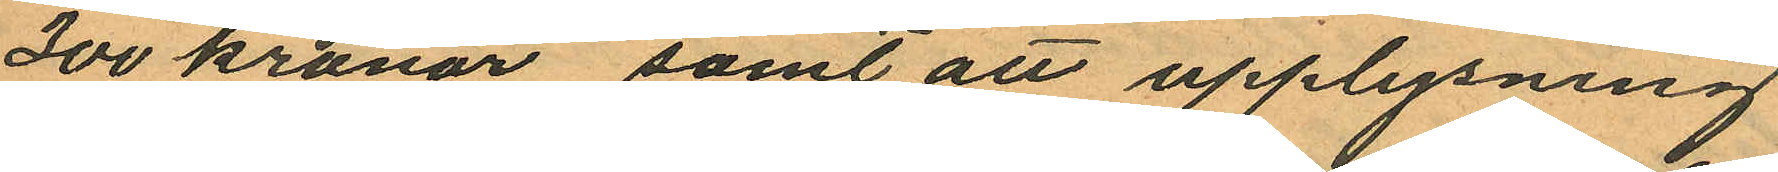300 kronor samt att upplysning
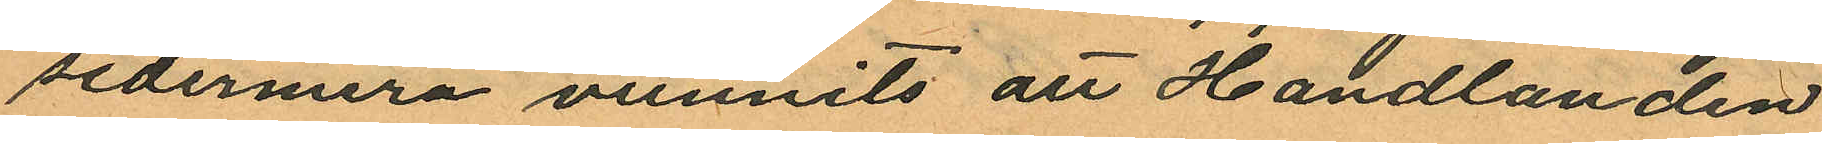sedermera vunnits att Handlanden
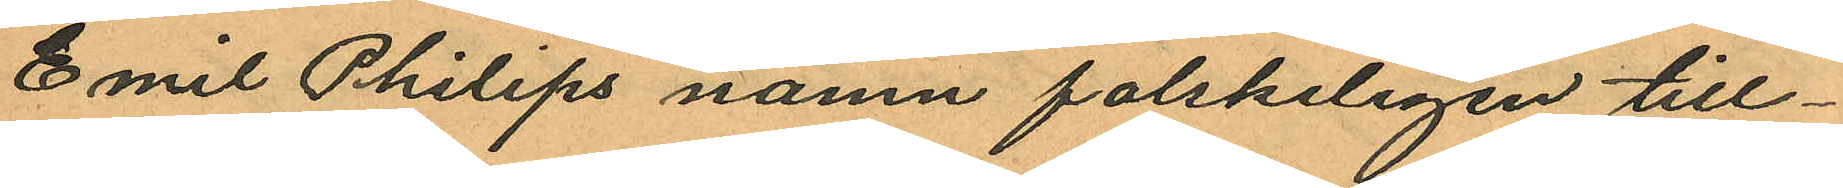Emil Philips namn falskeligen till¬
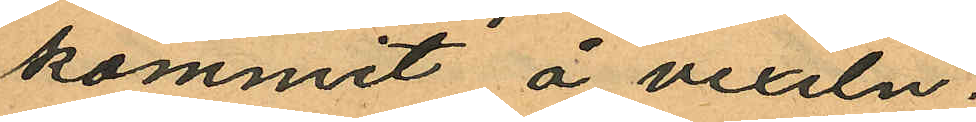kommit å vexeln.
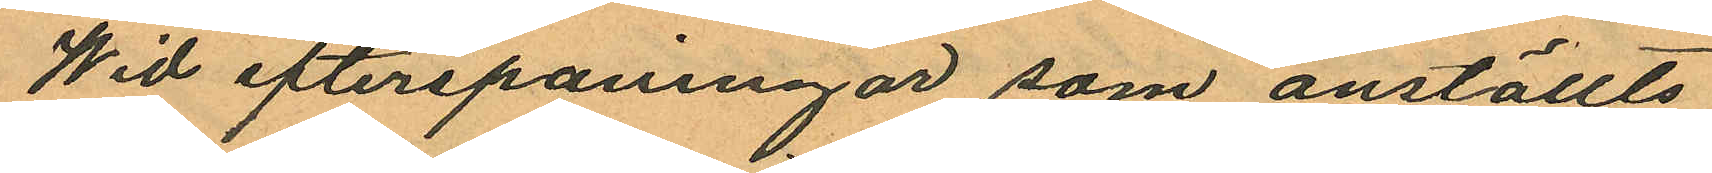Wid efterspaningar som anställts
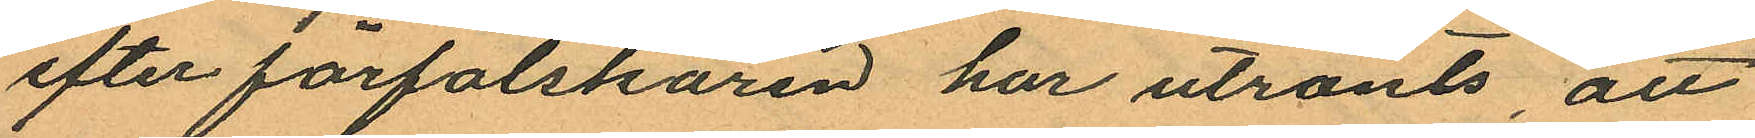efter förfalskaren har utrönts, att
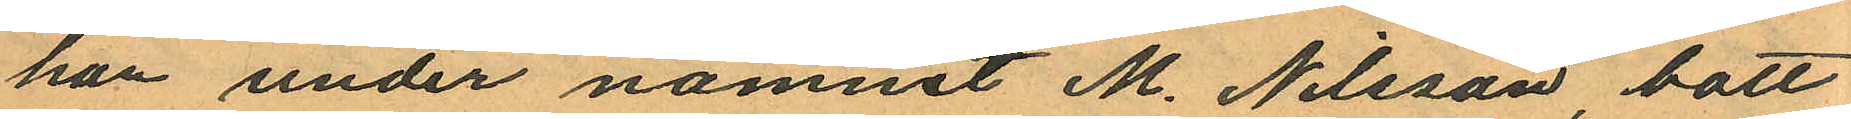han under namnet M. Nilsson, bott
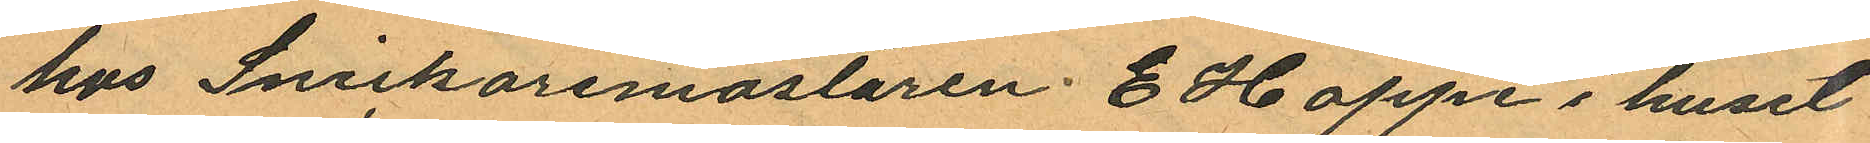hos Snickaremästaren E Hoppe i huset
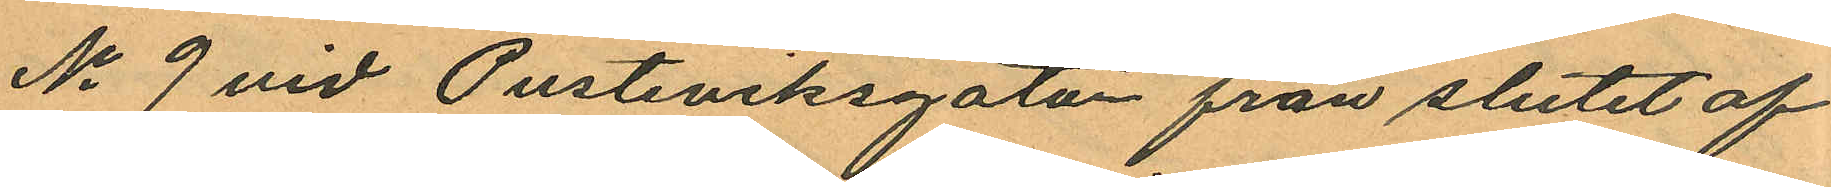No 9 vid Pusterviksgatan från slutet af
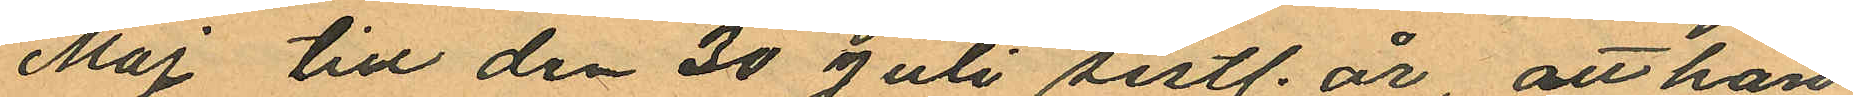Maj till den 30 Juli sistl. år, att han
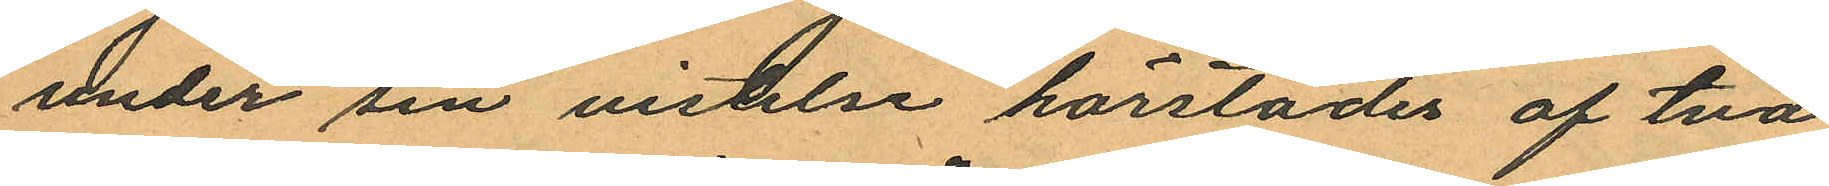under sin vistelse härstädes af två
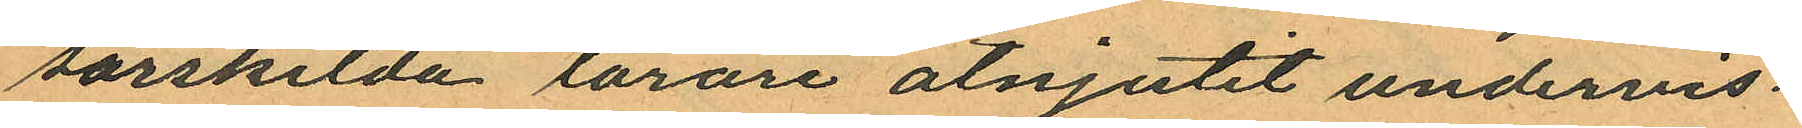särskilda lärare åtnjutit undervis¬
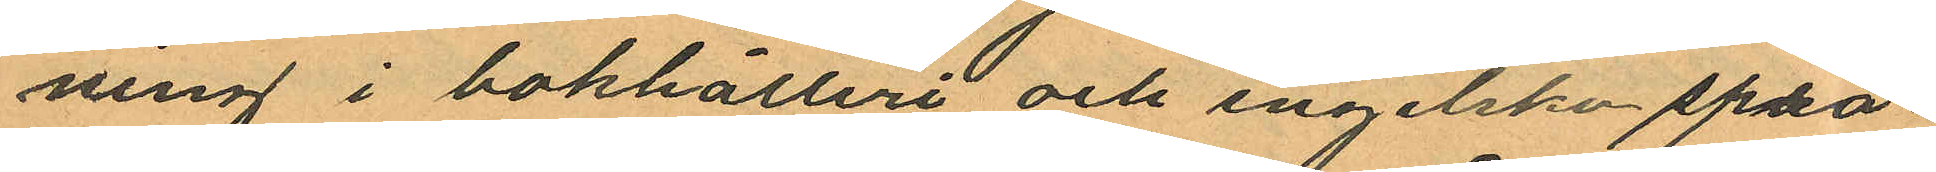ning i bokhålleri och engelska språ¬
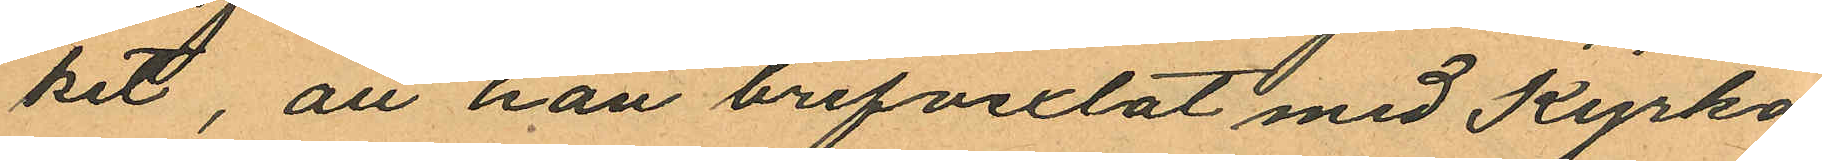ket, att han brefvexlat med Kyrko¬
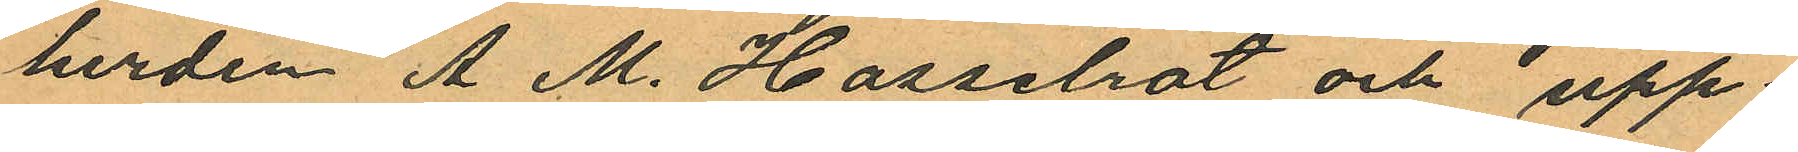herden A. M. Hasselrot och upp¬
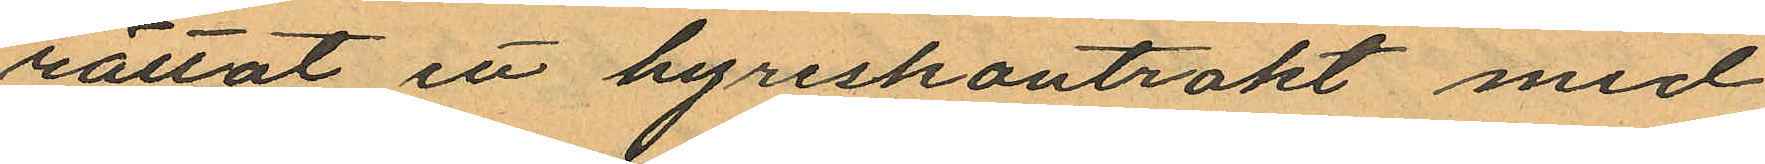rättat ett hyreskontrakt med
